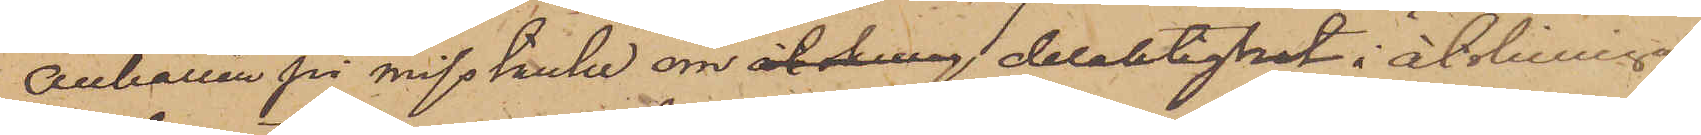anhållen på misstanke om åtskillig delaktighet i åtskilliga
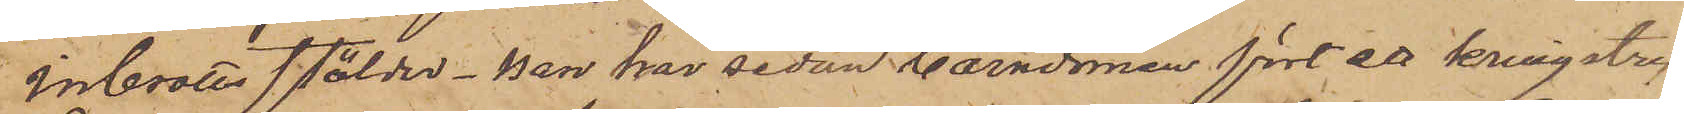inbrottsstölder. Han har sedan barndomen fört ett kringstry¬
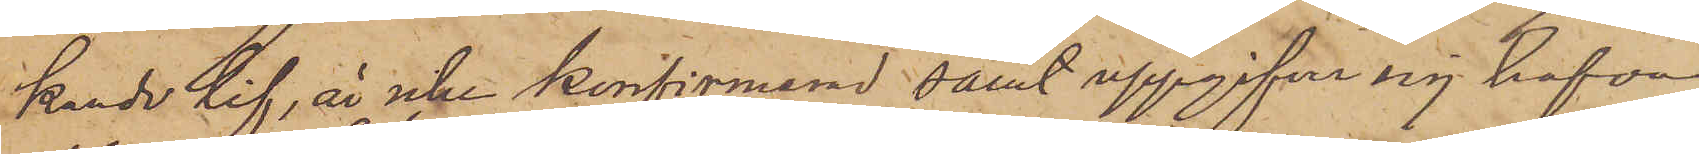kande lif, är icke konfirmerad, samt uppgifver sig hafva
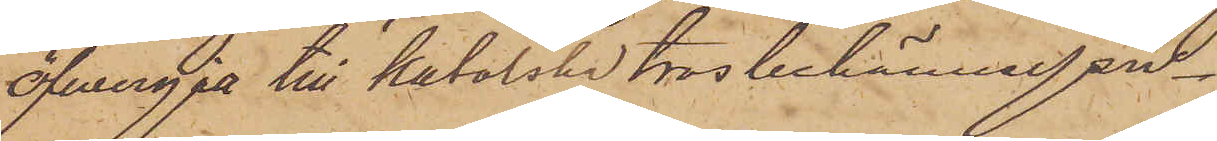öfvergått till katolska trosbekännelsen.
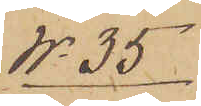No 35
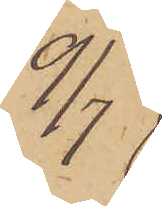9/7
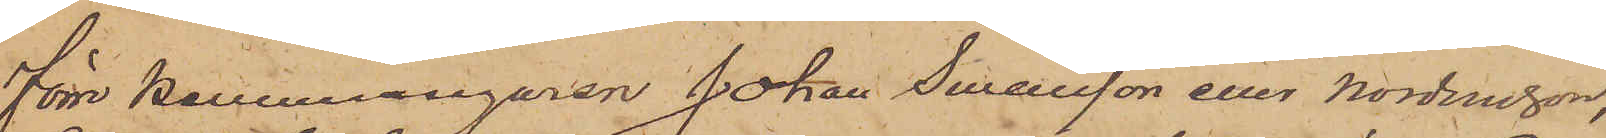Förre Hemmansegaren Johan Swensson eller Nordensson,
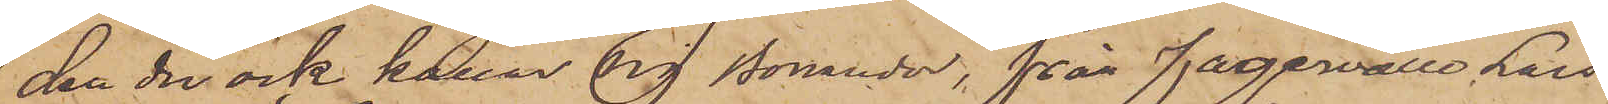den der ock kallar sig Bonander, från Fagervälle Lars
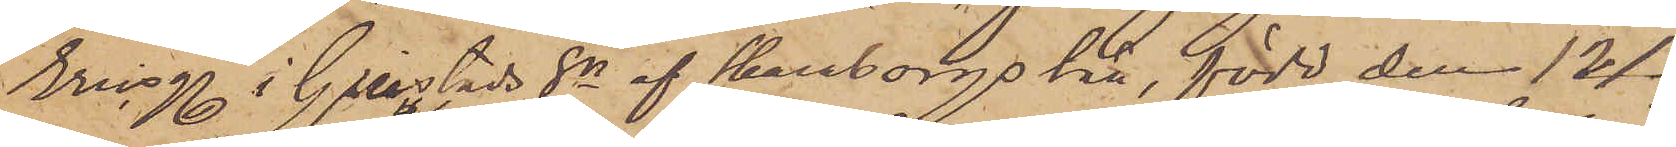Ericsg. i Grimstads Sn af Skaraborgs län, född den 12/3
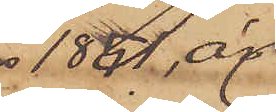1851, är
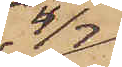4/7
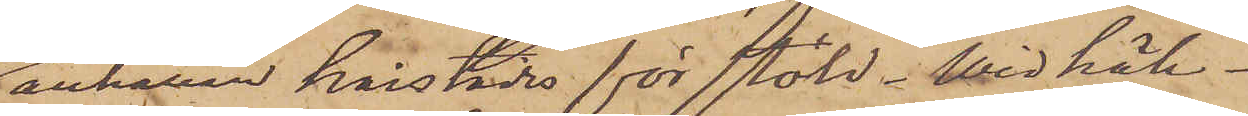anhållen härstädes för stöld. Wid häk¬
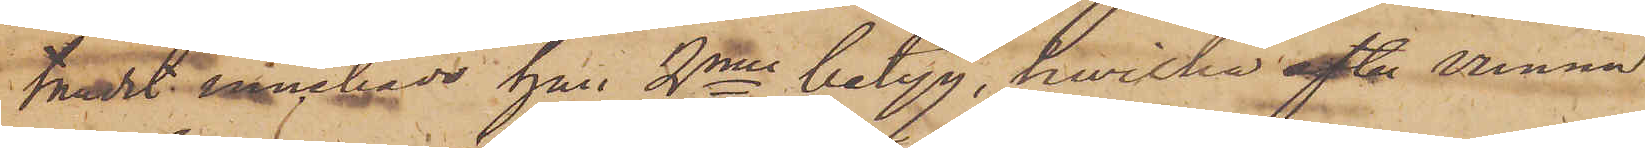tandet innehade han 2nne betyg, hwilka efter vunna
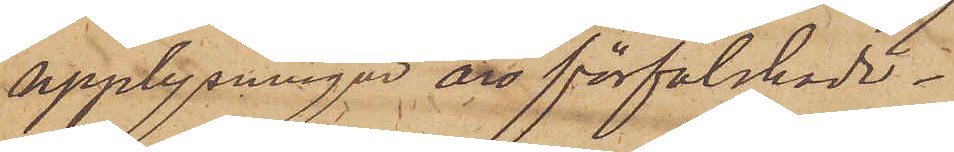upplysninger äro förfalskade. 
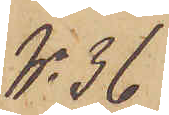No 36
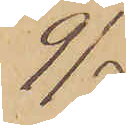9/7
